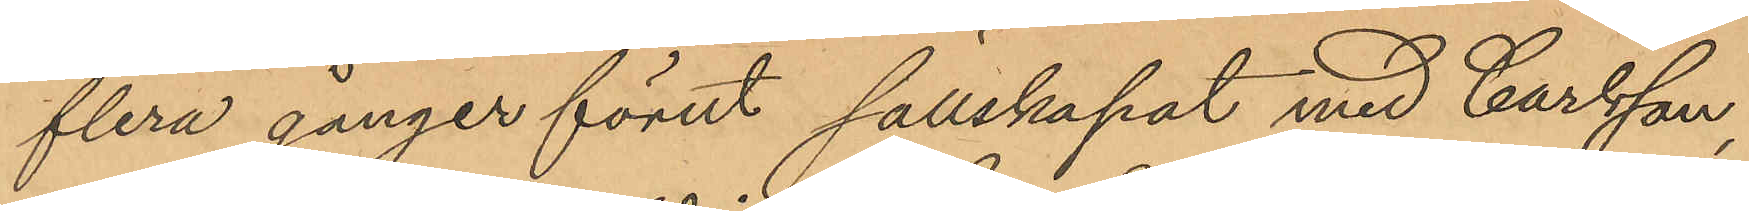flera gånger förut sällskapat med Carlsson,
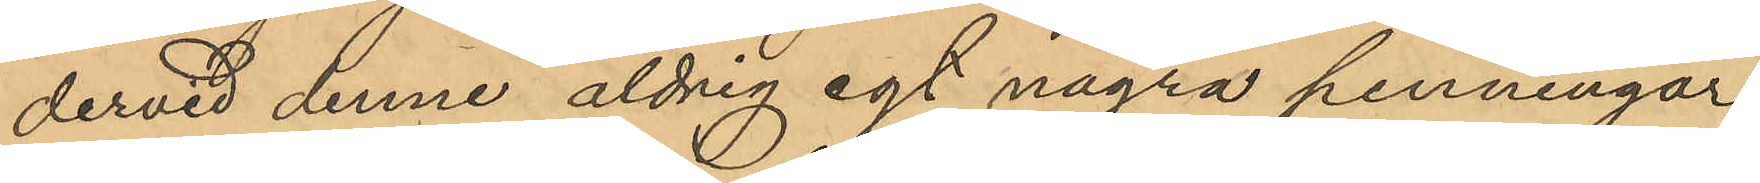dervid denne aldrig egt några penningar
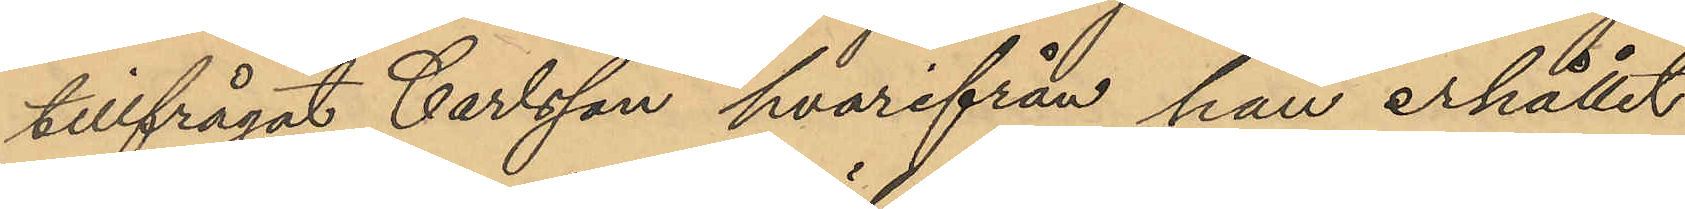tillfrågat Carlsson hvarifrån han erhållit
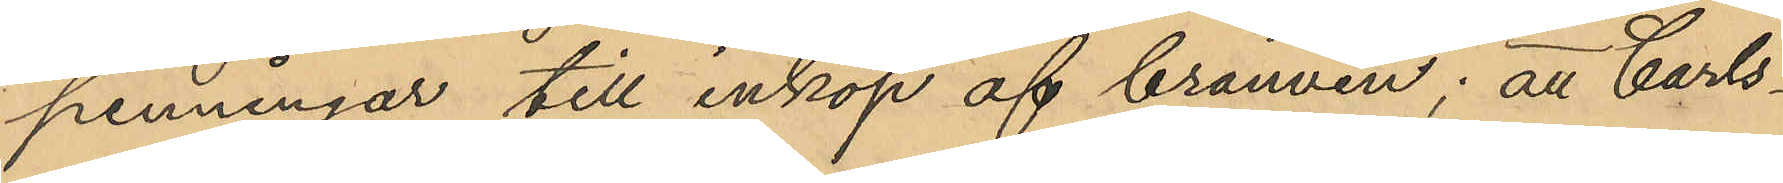penningar till inköp af brännvin; att Carls¬
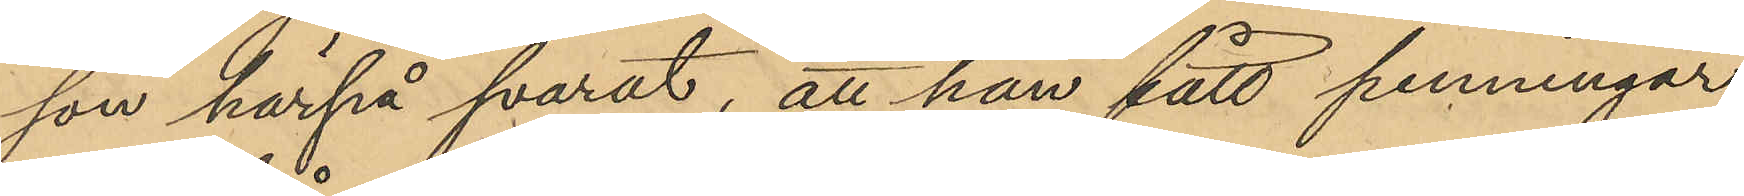son härpå svarat, att han fått penningar
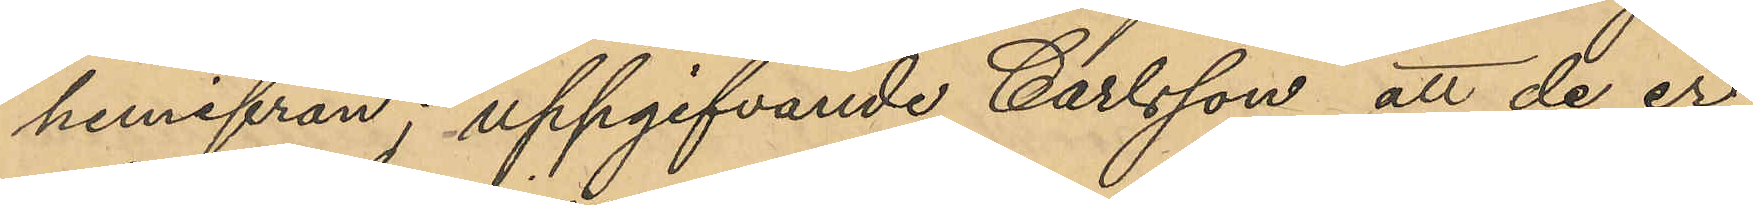hemifrån; uppgifvande Carlsson att de er¬
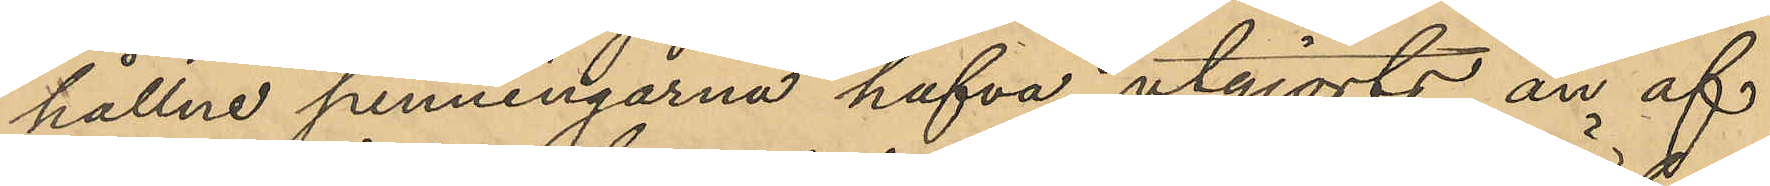hållne penningarna hafva utgjorts än af
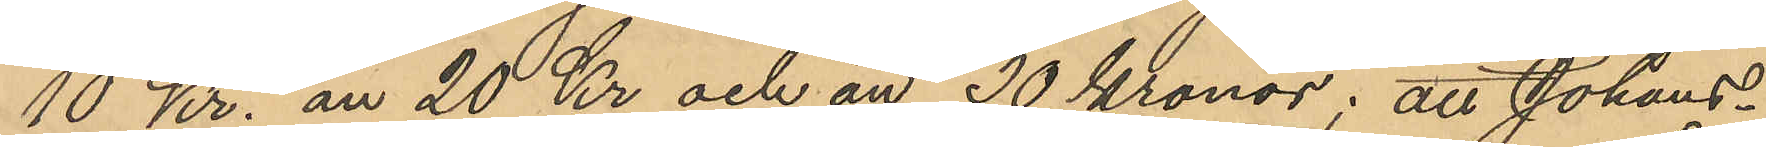10 Kr. än 20 Kr och än 30 Kronor; att Johans¬
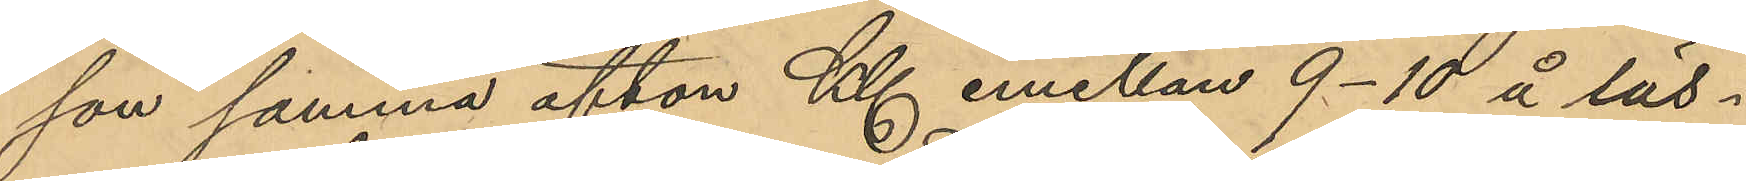son samma afton Kl. emellan 9-10 å läs¬
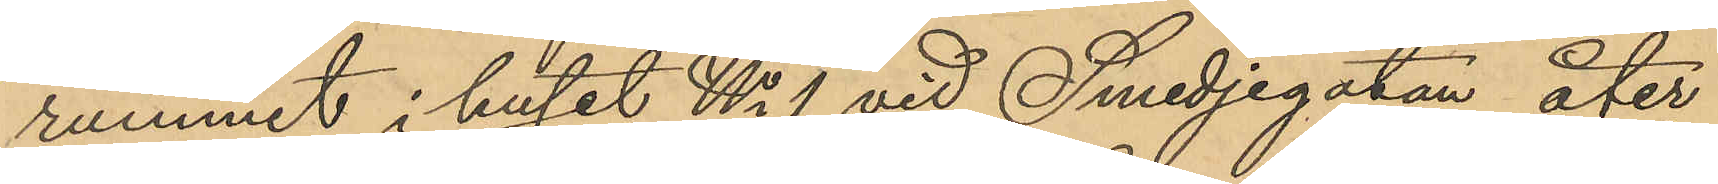rummet i huset No 1 vid Smedjegatan åter
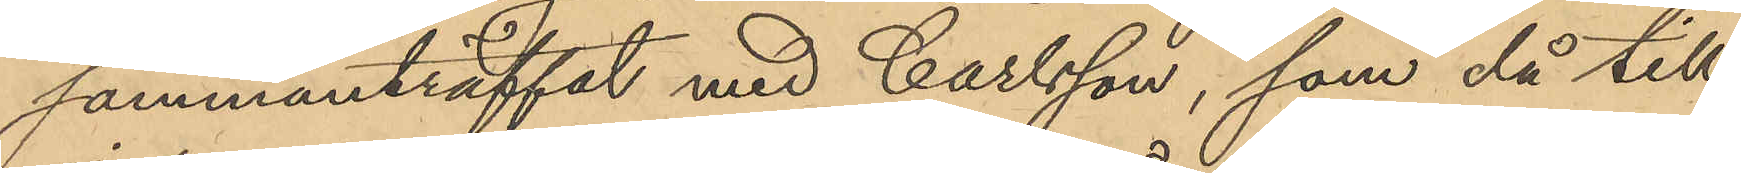sammanträffat med Carlsson, som då till
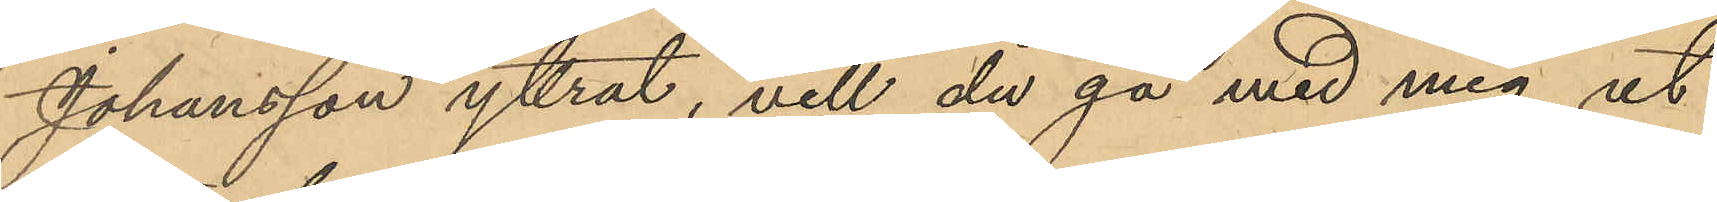Johansson yttrat, vill du gå med mig ut
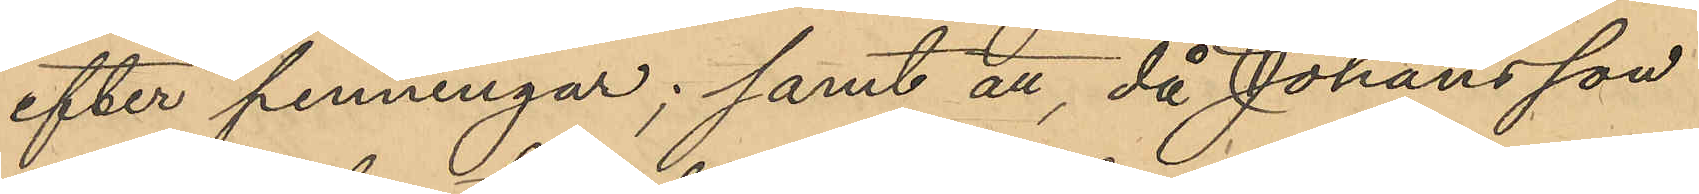efter penningar; samt att, då Johansson
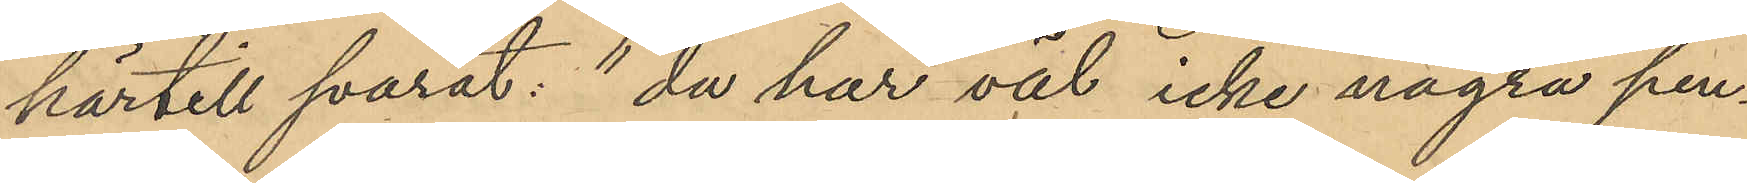härtill svarat: "du har väl icke några pen¬
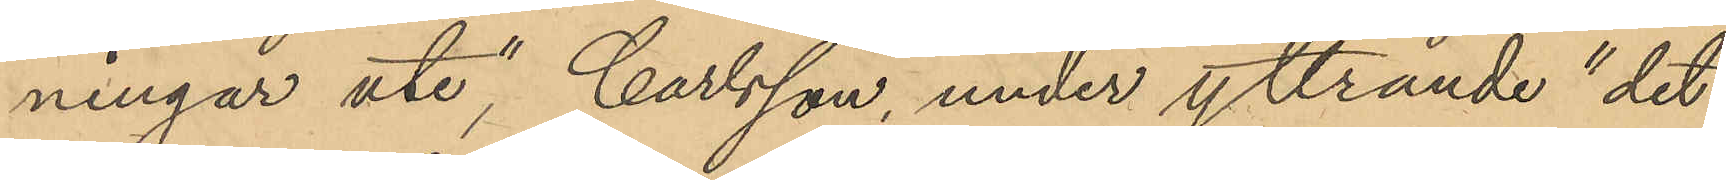ningar ute", Carlsson, under yttrande" det
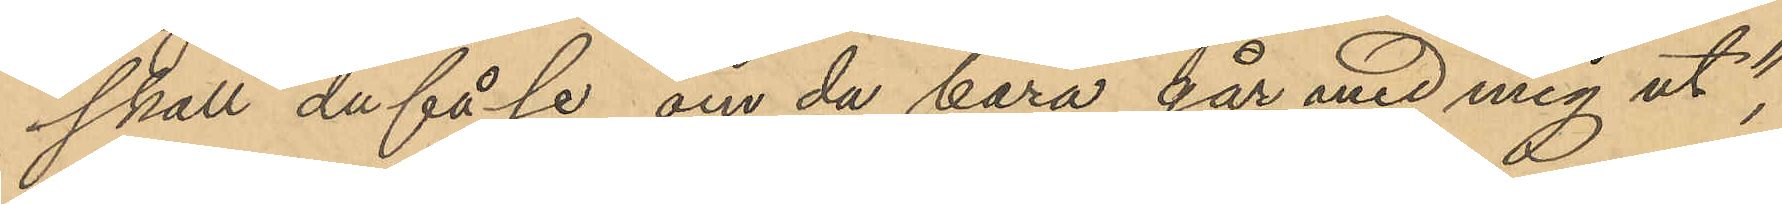skall du få se om då bara går med mig ut",
